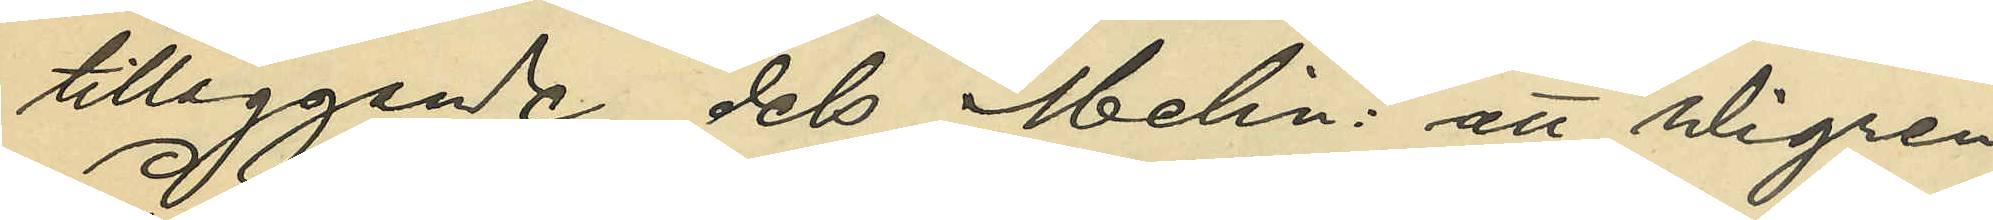tilläggande dels Melin: att Wigren
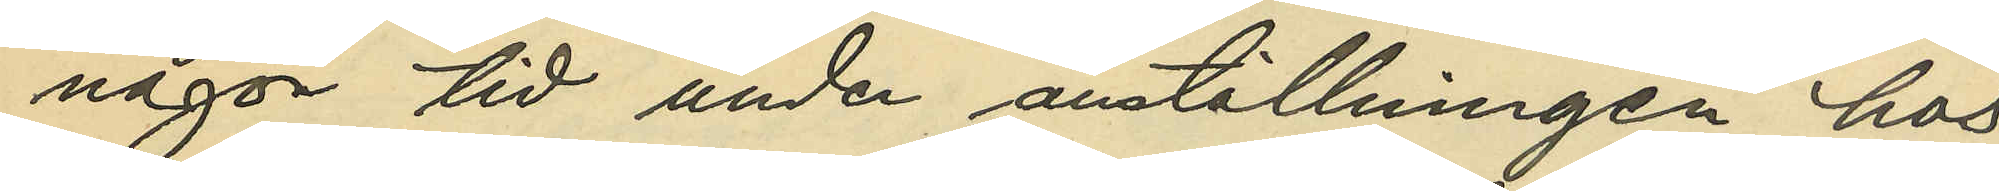någon tid under anställningen hos
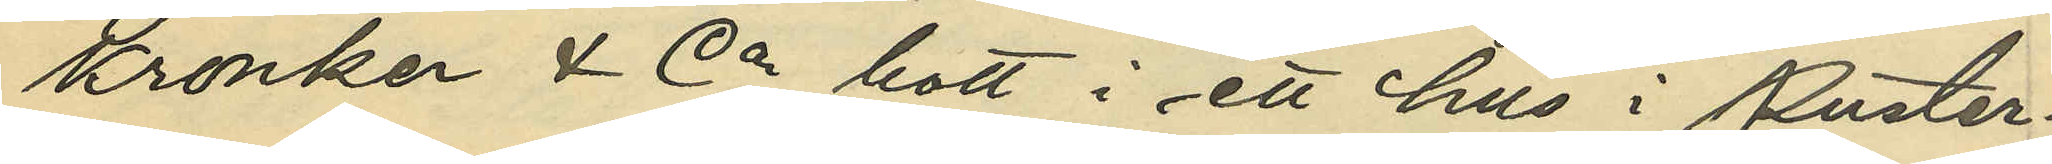Kronker & Co bott i ett hus i Puster¬
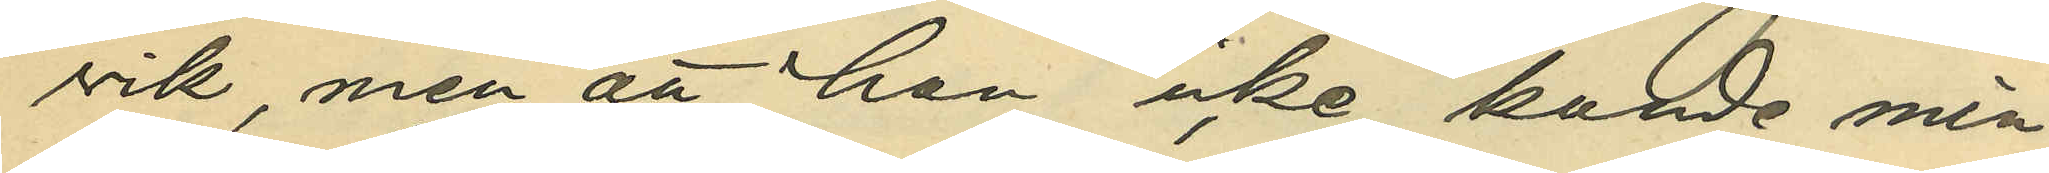vik, men att han icke kunde min¬
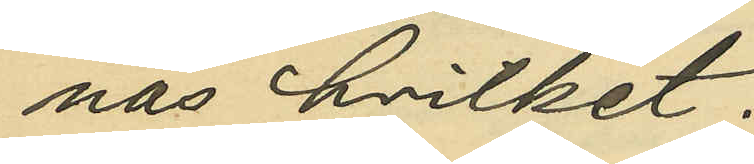nas hvilket;
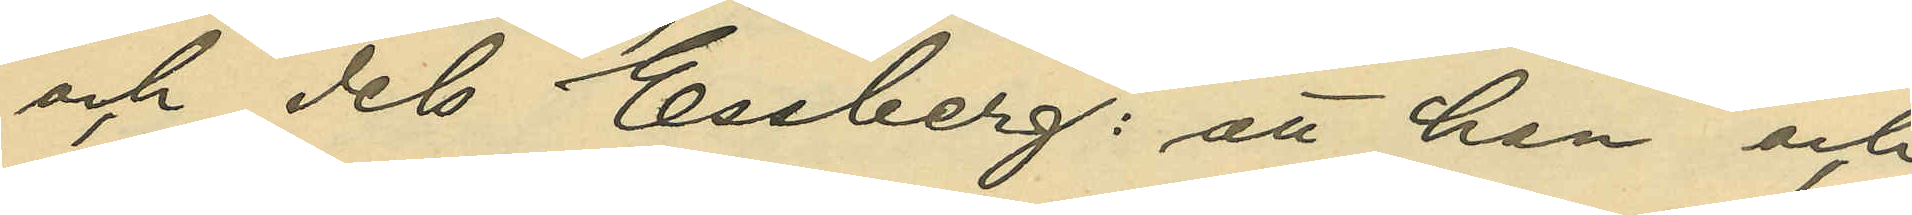och dels Essberg: att han och
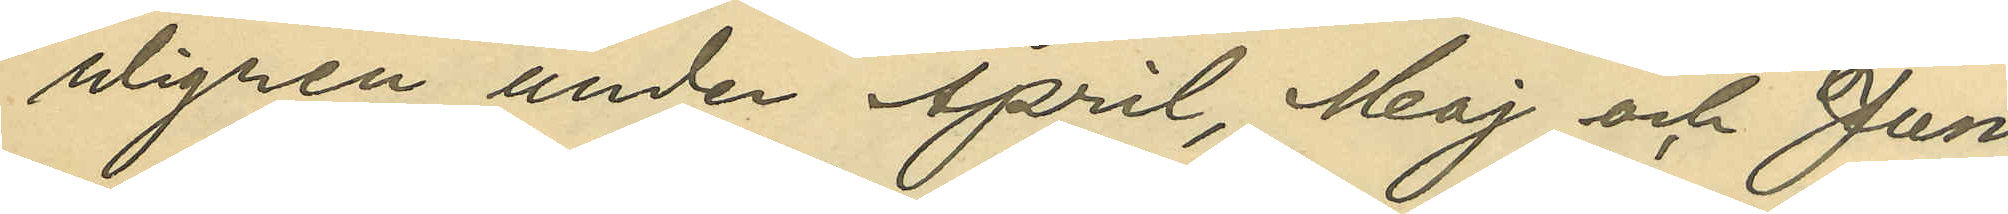Wigren under April, Maj och Juni
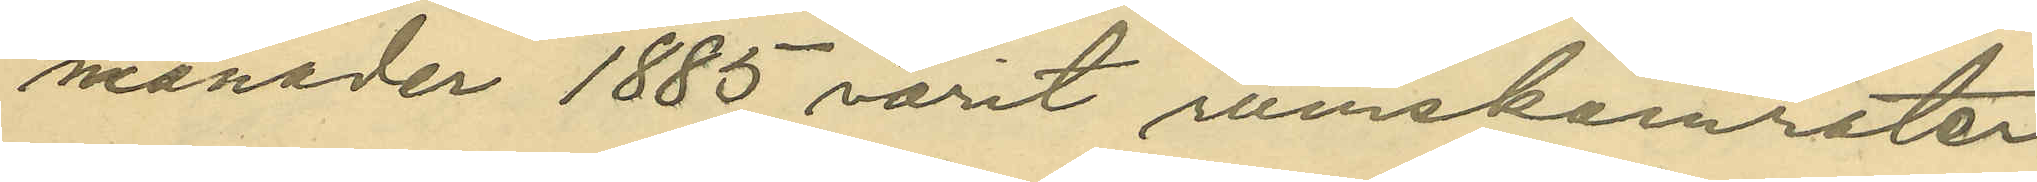månader 1885 varit rumskamrater
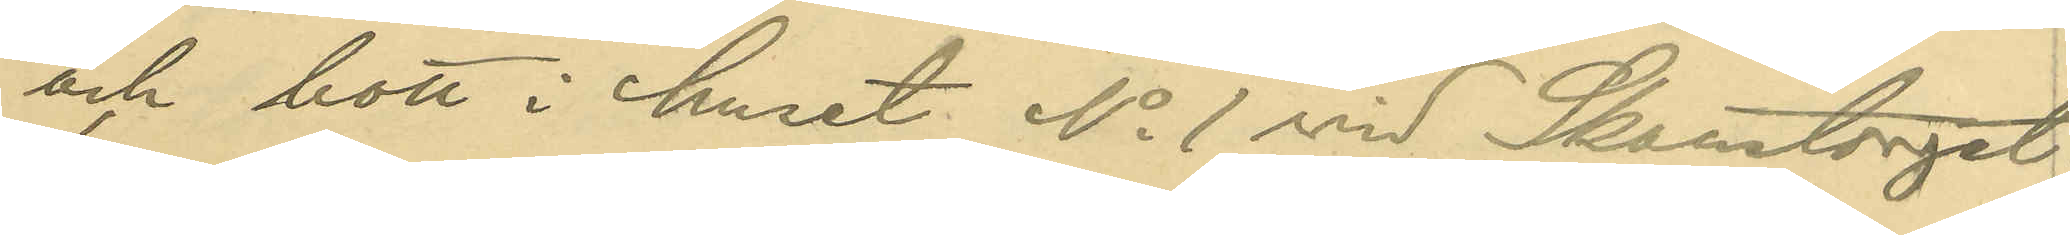och bott i huset No 1 vid Skanstorget;
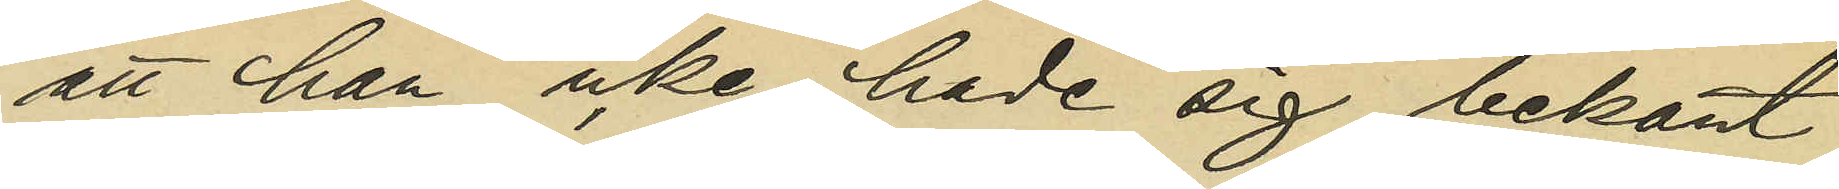att han icke hade sig bekant
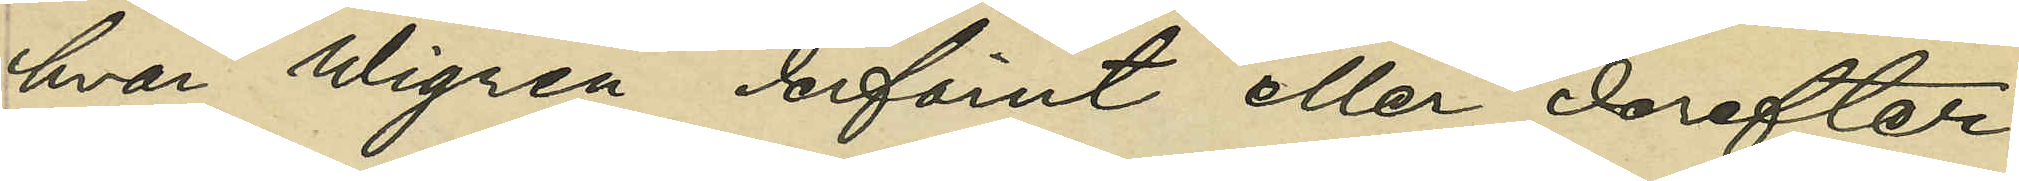hvar Wigren derförut eller derefter
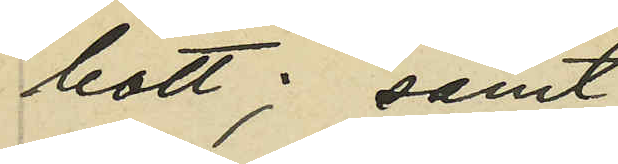bott; samt
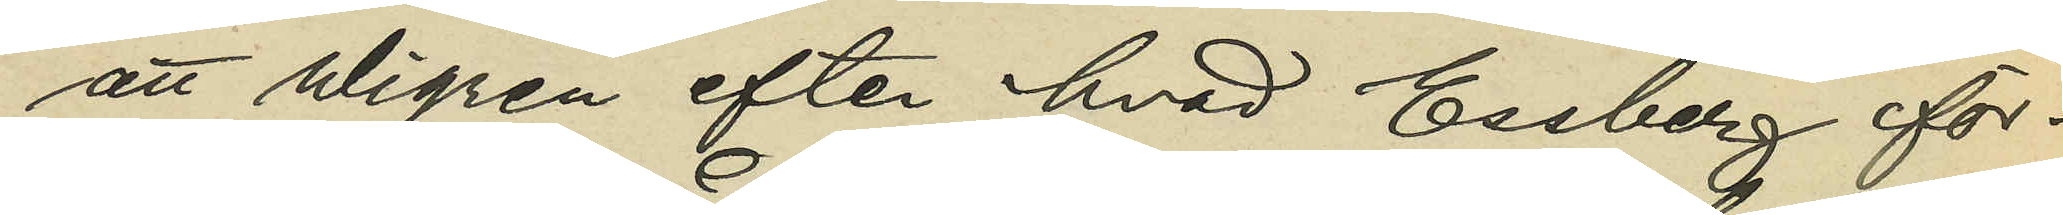att Wigren efter hvad Essberg för¬
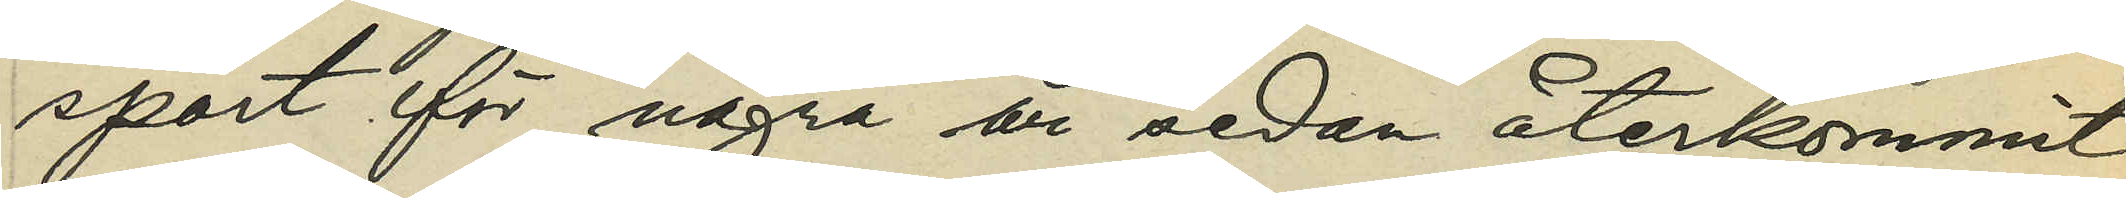sport för några år sedan återkommit
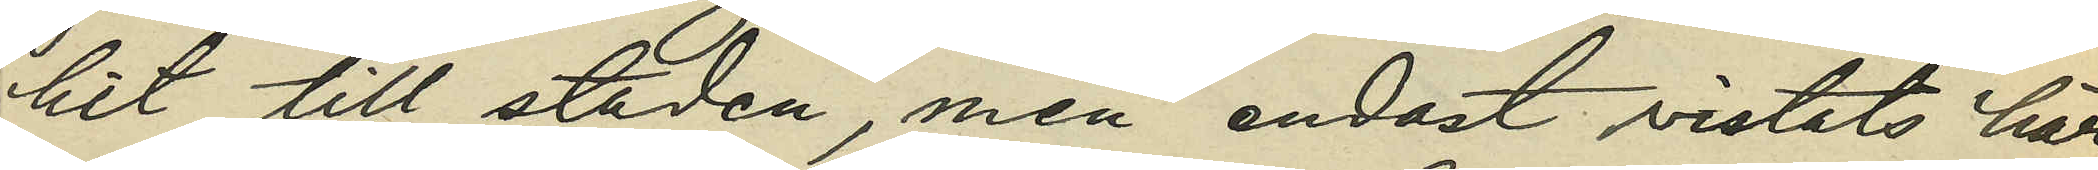hit till staden, men endast vistats här
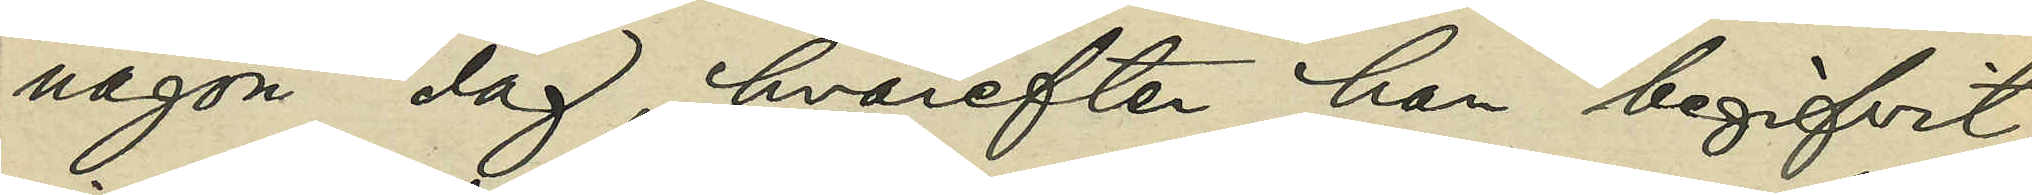någon dag, hvarefter han begifvit
